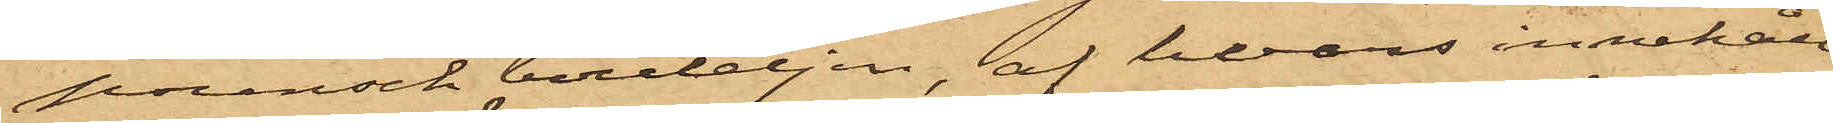punschbouteljen, af hvars innehåll
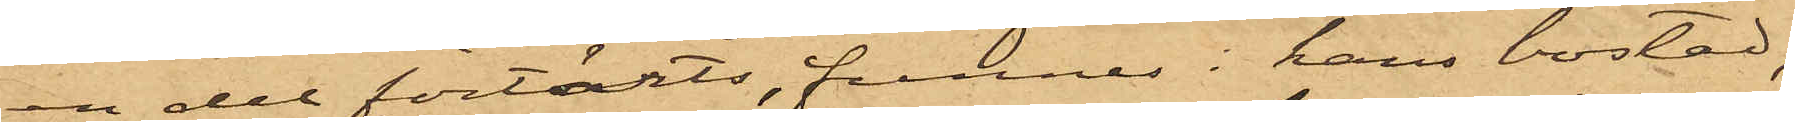en del förtärts, funnes i hans bostad;
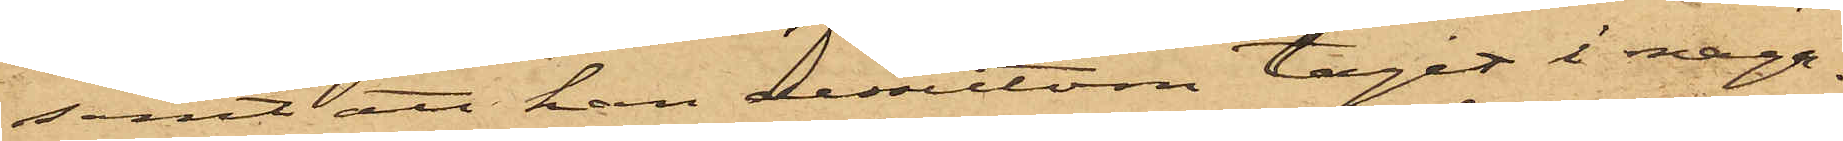samt att han dessutom tagit i maga¬
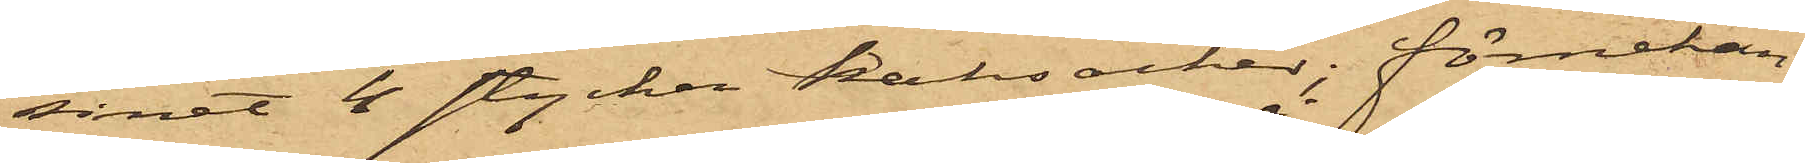sinet 4 stycken kantsocker; förnekan¬
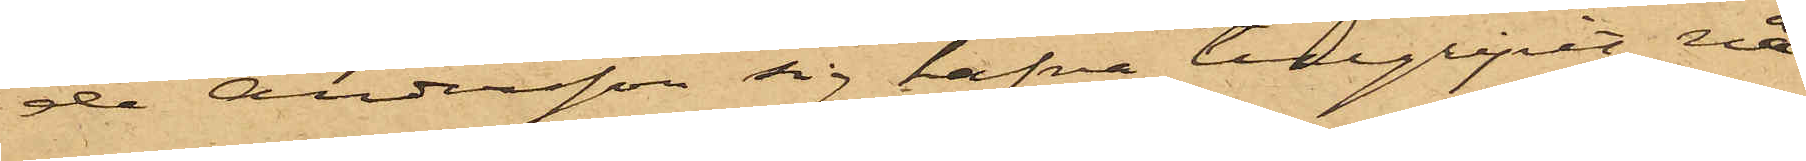de Andersson sig hafva tillgripit nå¬
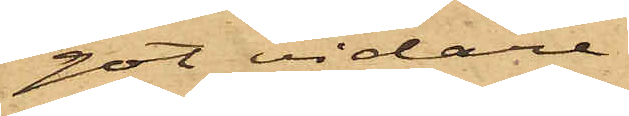got vidare.
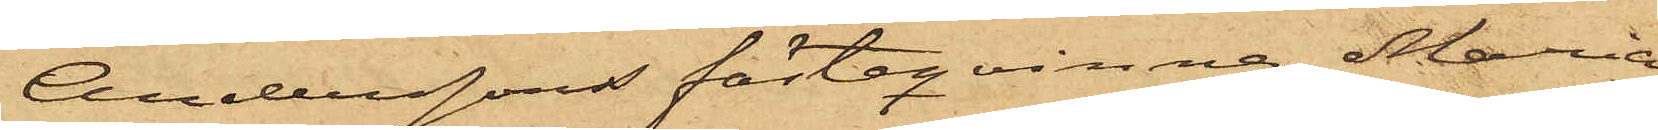Anderssons fästeqvinna Maria
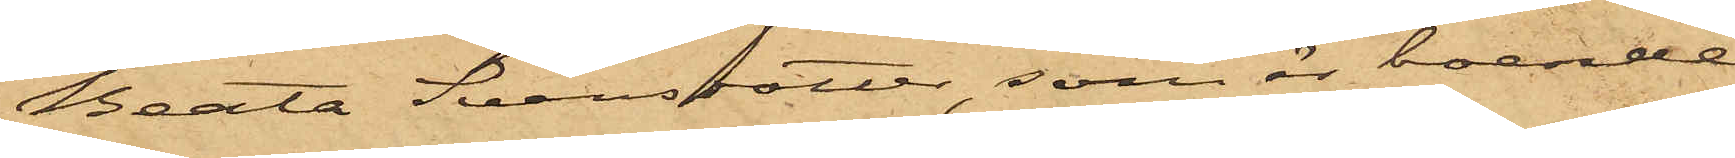Beata Svensdotter, som är boende
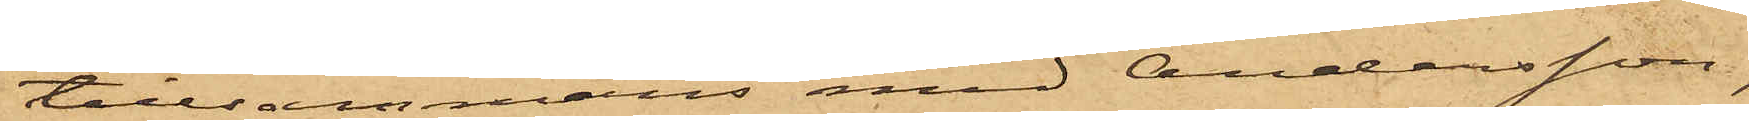tillsammans med Andersson,
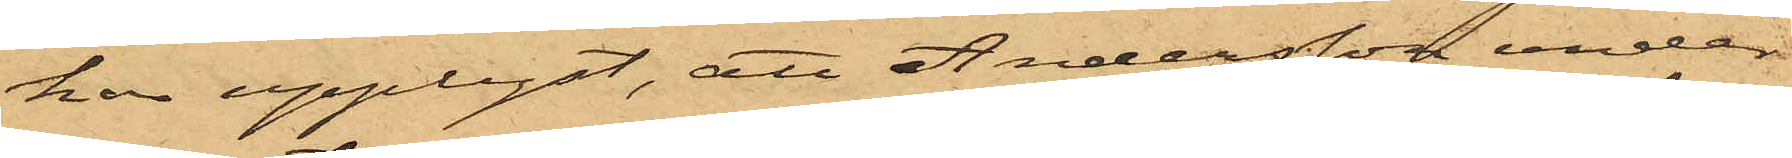har upplyst, att Andersson under
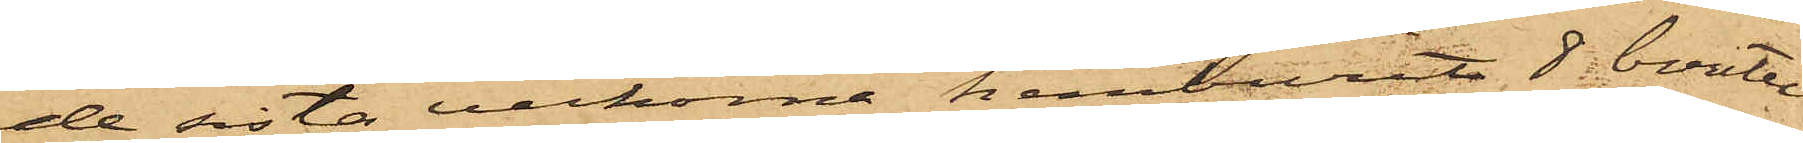de sista veckorna hemburit  8 boutel¬
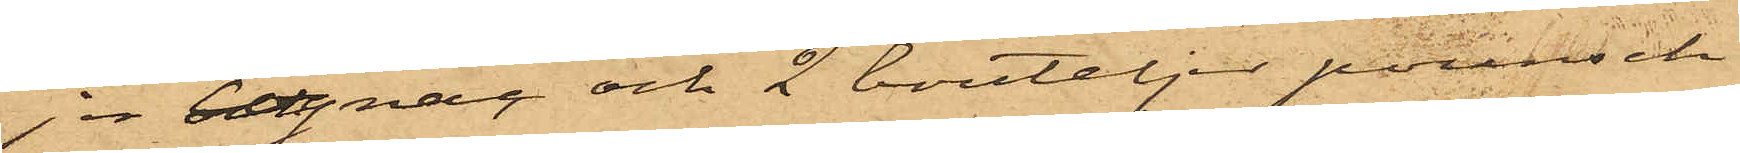jer conjac och 2 bouteljer punsch,
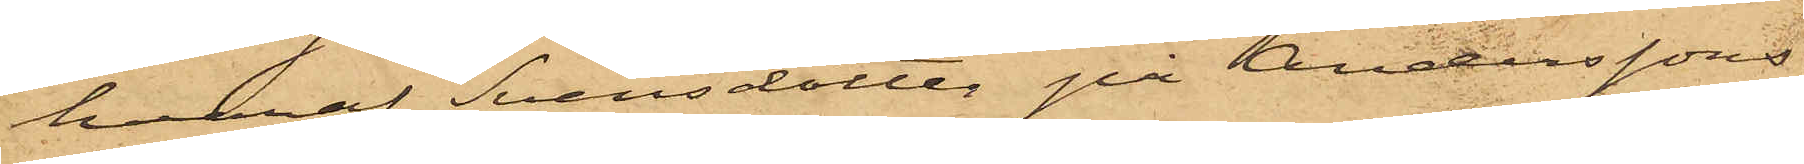hvaraf Svensdotter på Anderssons
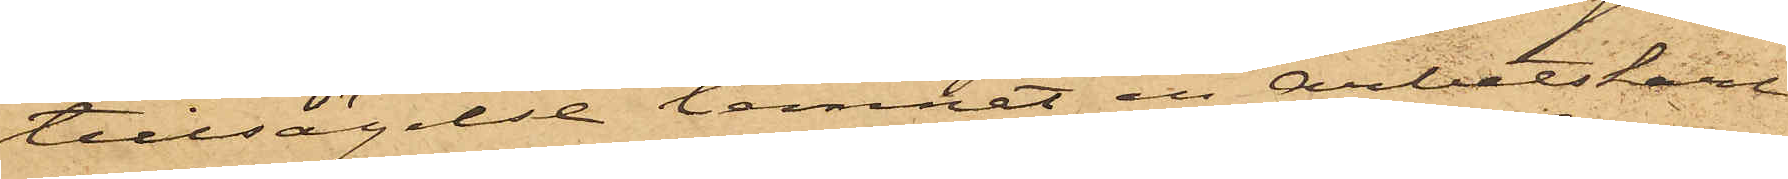tillsägelse lemnat en Arbetskarl
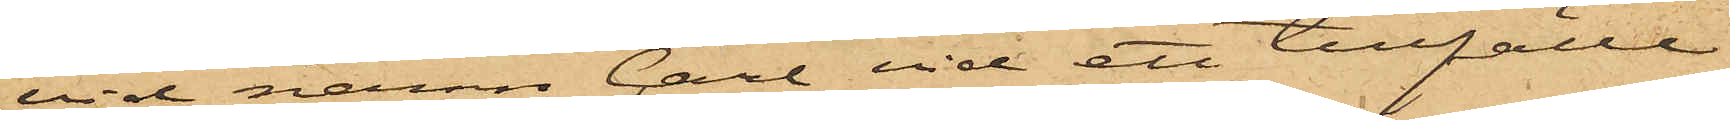vid namn Carl vid ett tillfälle
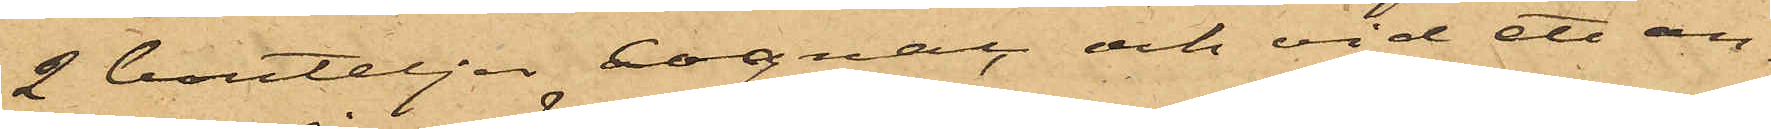2 bouteljer cognac och vid ett an¬
